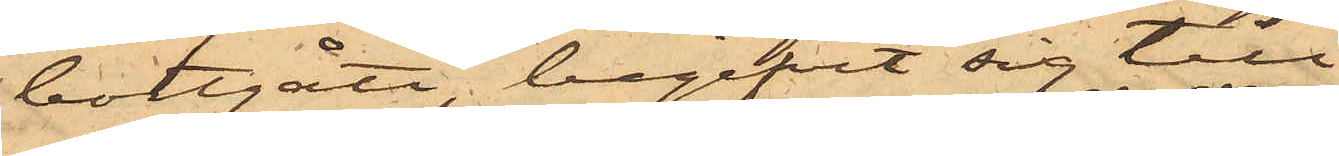bortgått, begifvit sig till
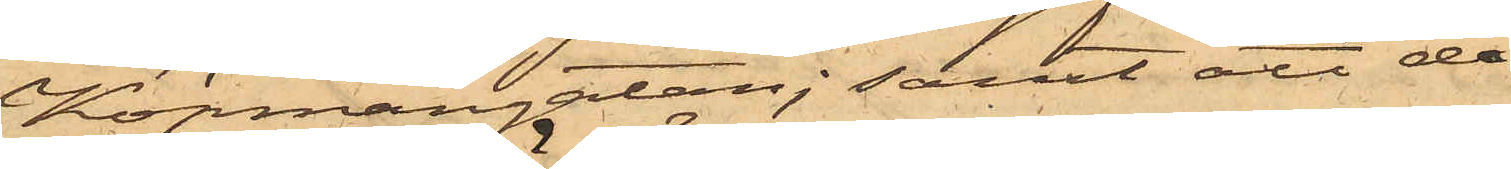Köpmangatan; samt att då
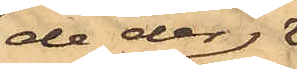de der
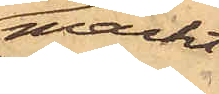märkt
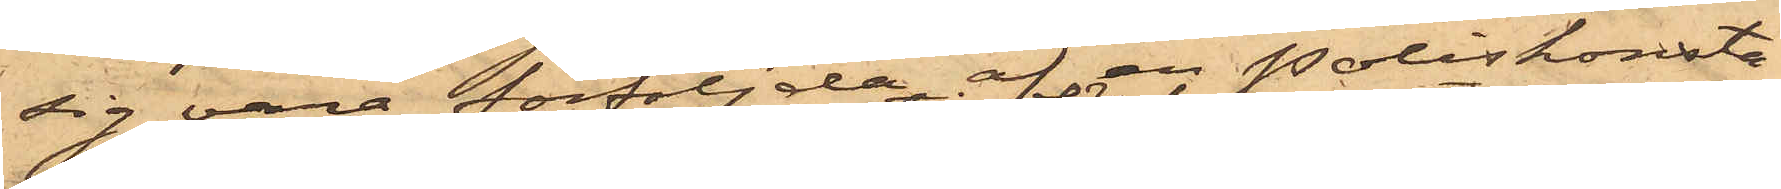sig vara förföljda af en Poliskonsta¬
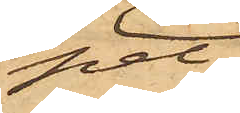pel
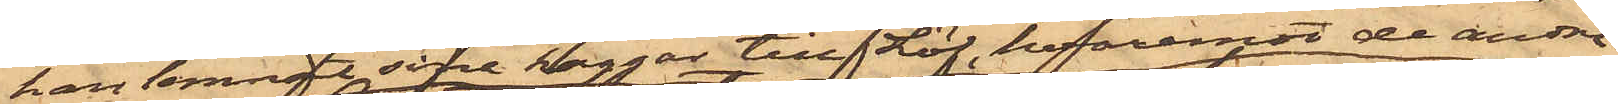han lemnat sina kaggar till Löf, hvaremot de andra
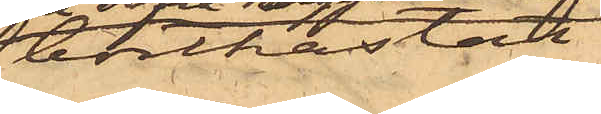bortkastat
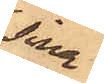sina
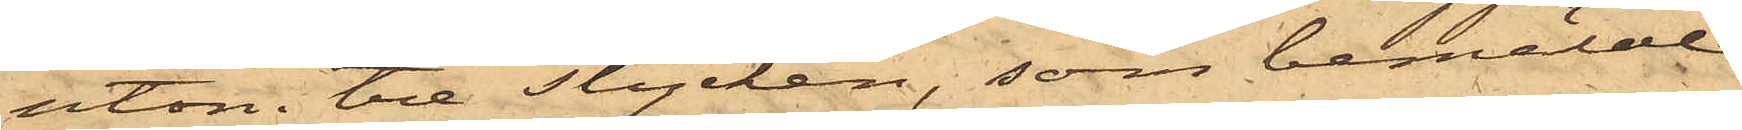utom tre stycken, som bemälde
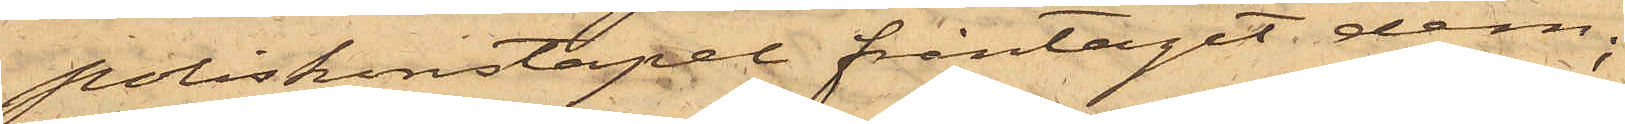poliskonstapel fråntagit dem;
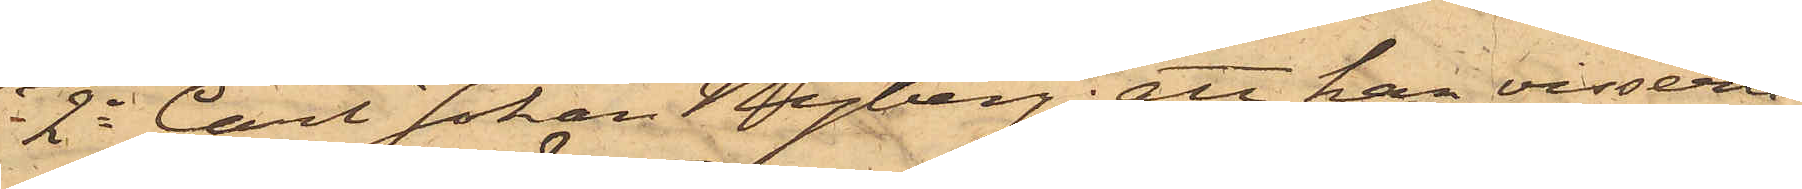2o Carl Johan Nyberg; att han visserli¬
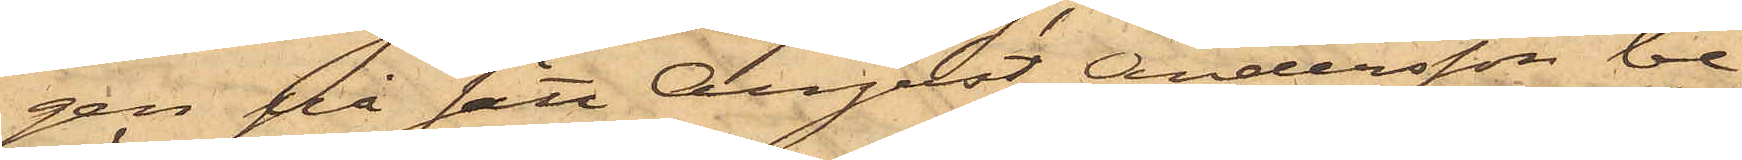gen på sätt August Andersson be¬
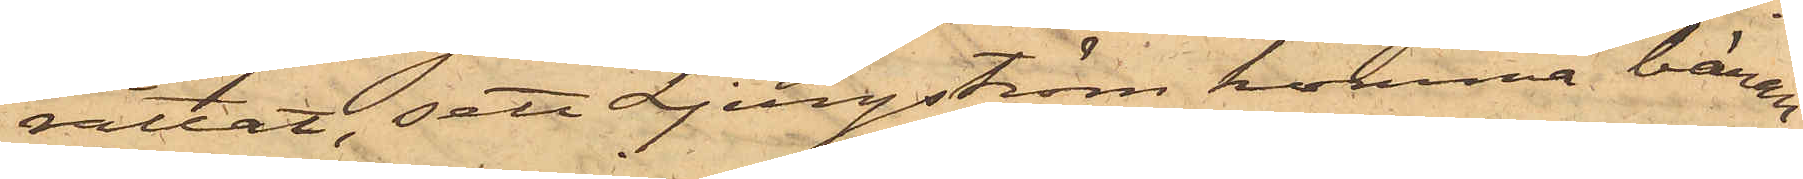rättat, sett Ljungström komma bäran¬
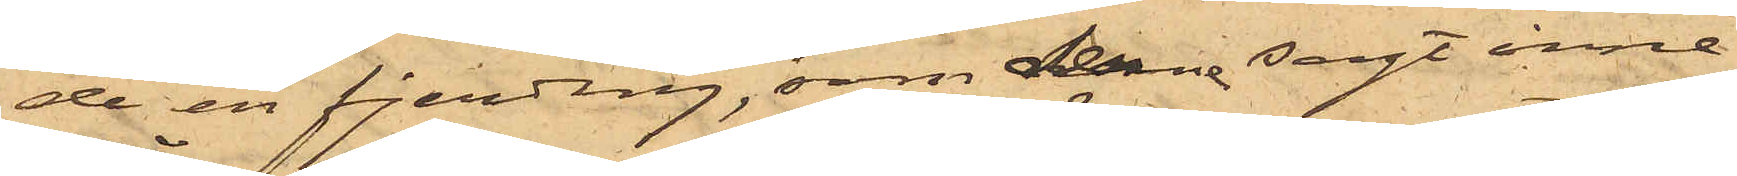de en fjerding, som denne sagt inne¬
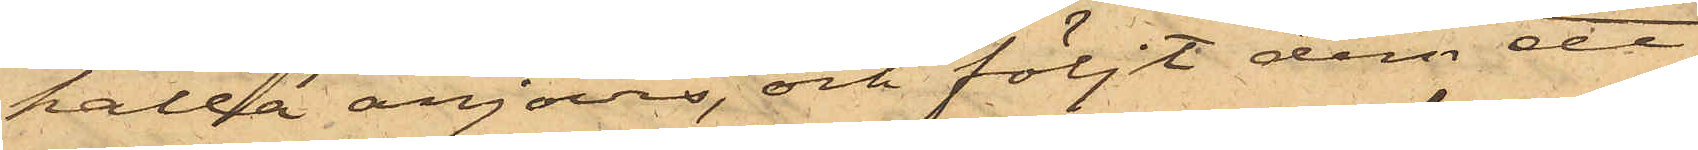hålla anjovis, och följt dem ett
